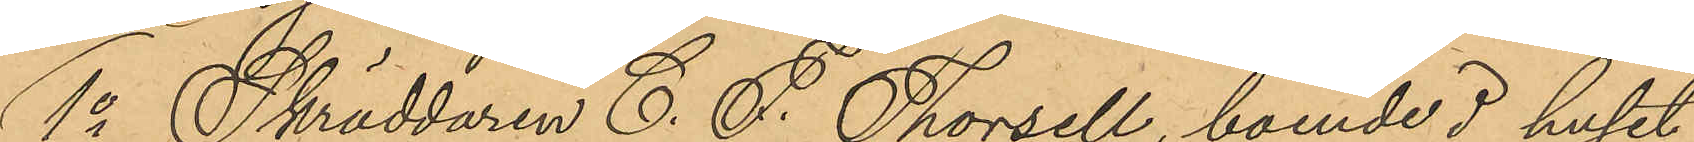1o Skräddaren C. F. Thorsell, boende i huset
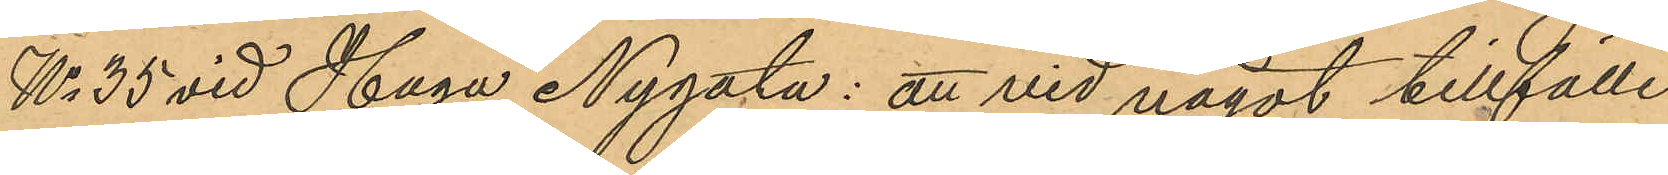No 35 vid Haga Nygata: att vid något tillfälle
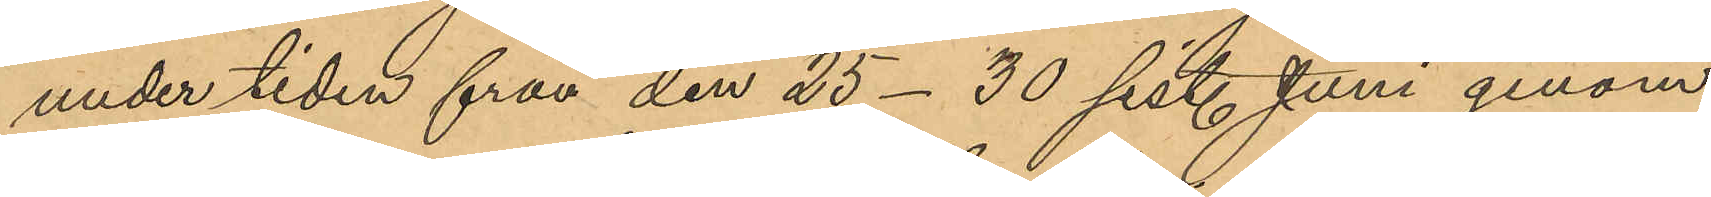under tiden från den 25-30 sistl. Juni genom
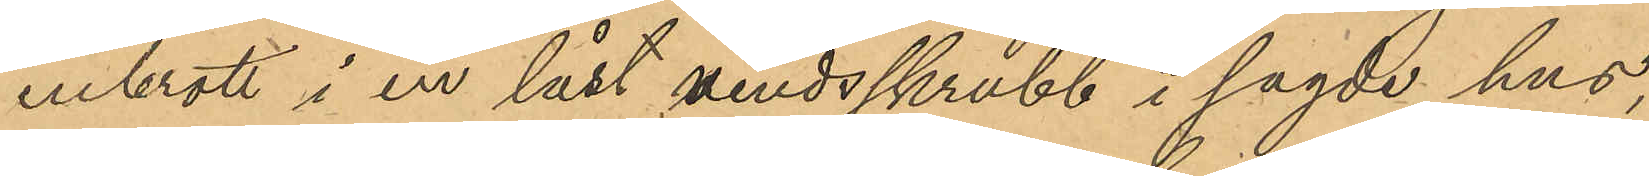inbrott i en låst vindsskrubb i sagde hus,
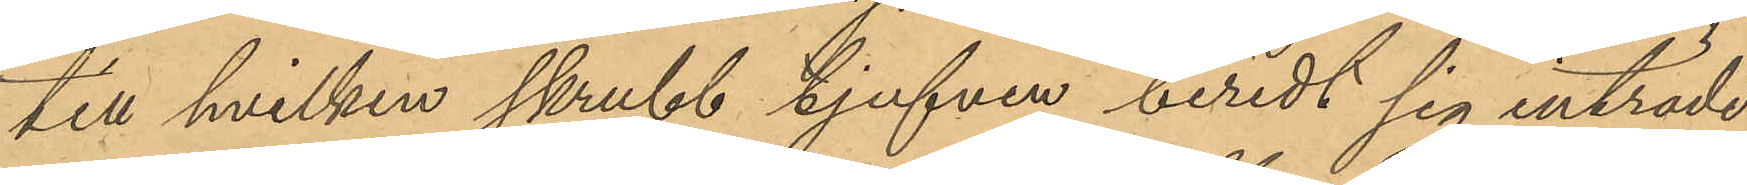till hvilken skrubb tjufven beredt sig inträde
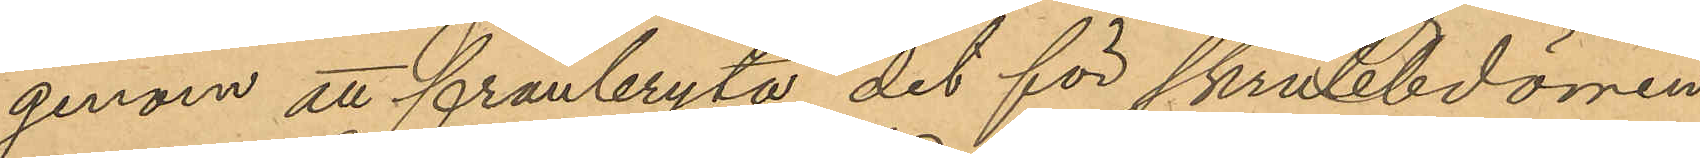genom att frånbryta det för skrubbdörren
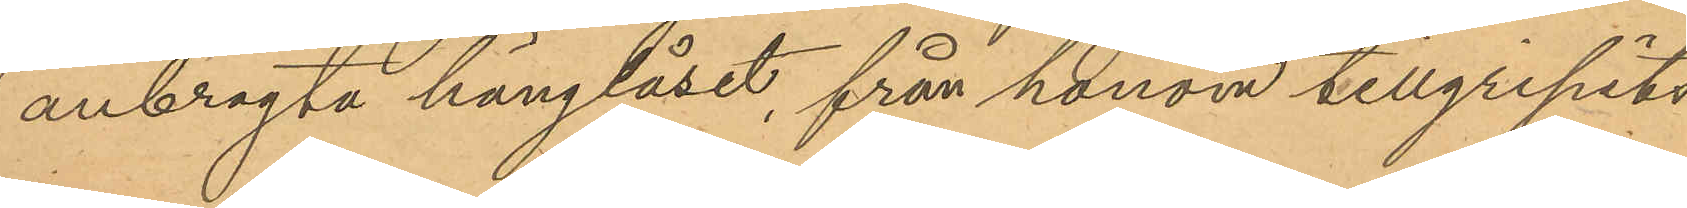anbragta hänglåset, från honom tillgripits
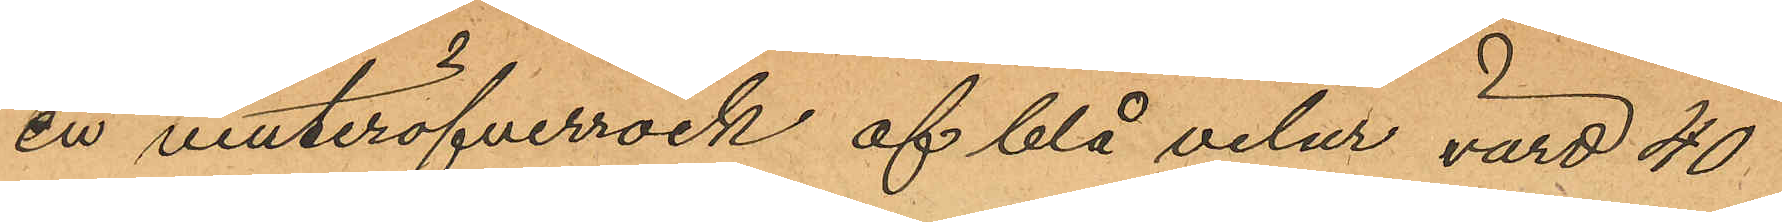en vinteröfverrock af blå velur, värd 40
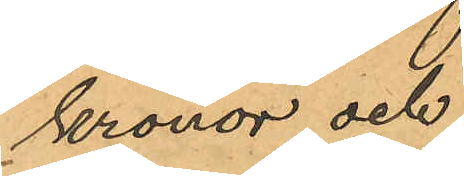kronor och
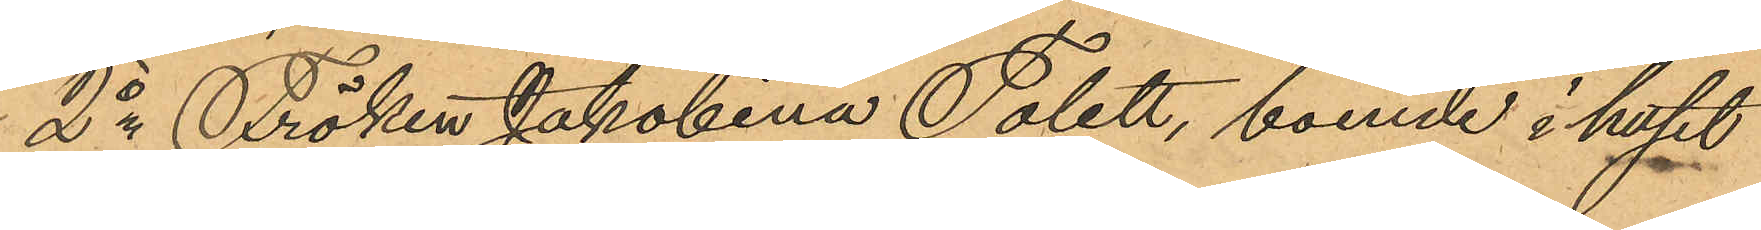2o Fröken Jakobina Tolett, boende i huset
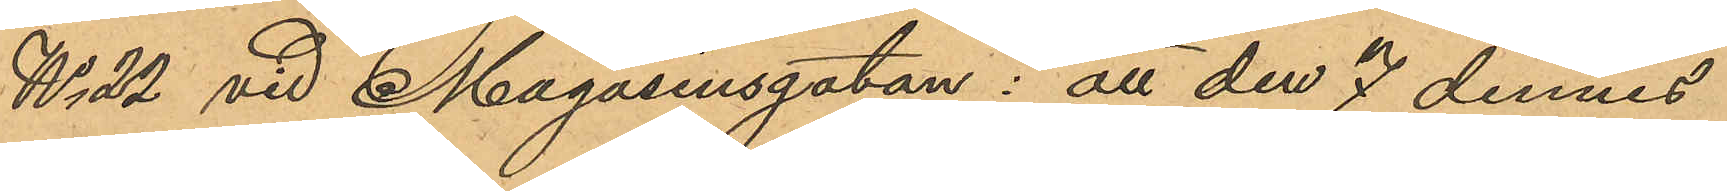No 22 vid Magasinsgatan: att den 7 dennes
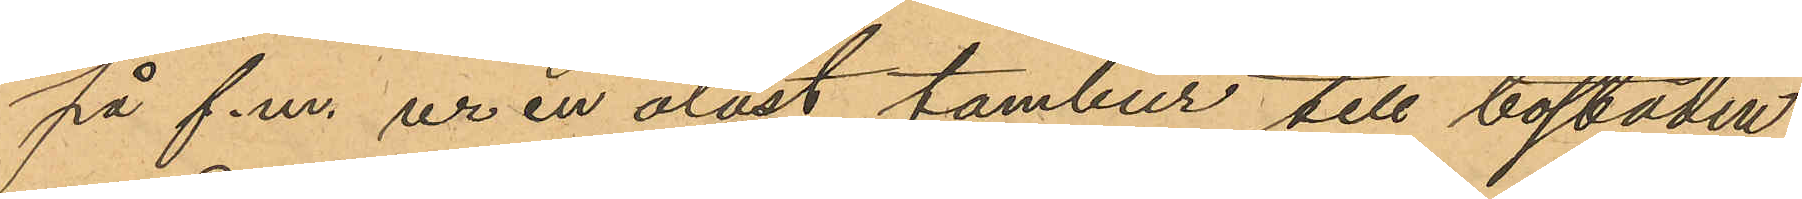på f.m. ur en olåst tambur till bostaden
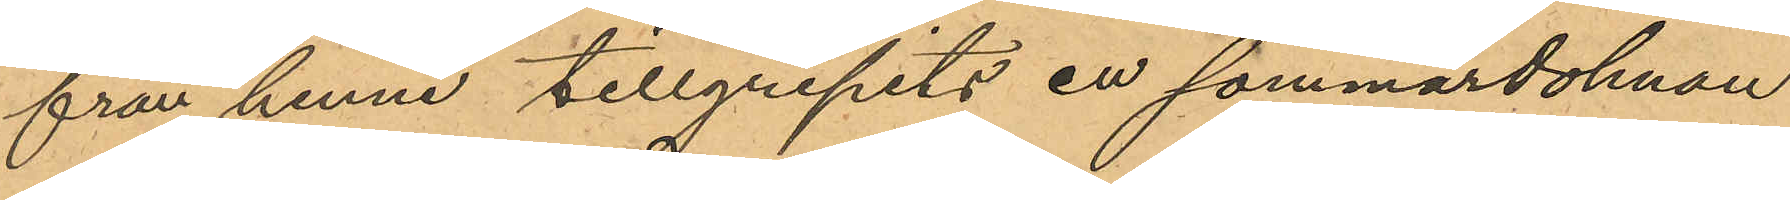från henne tillgripits en sommardolman
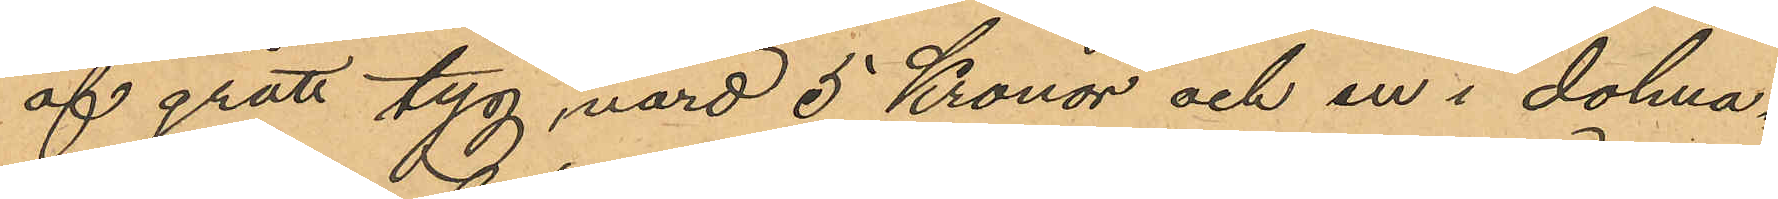af grått tyg, värd 5 Kronor och en i dolma¬
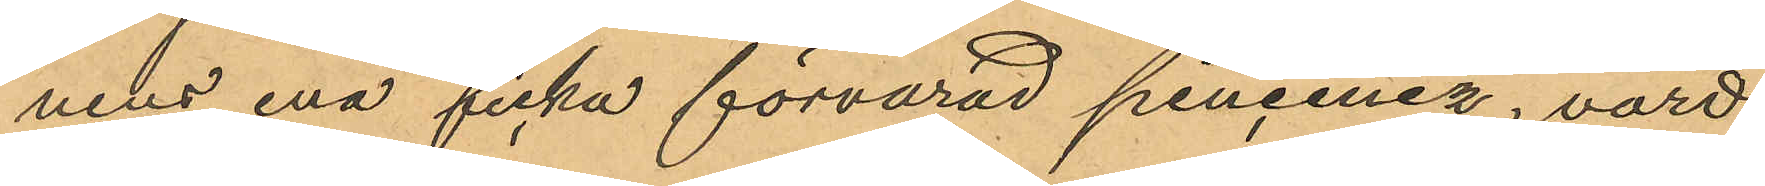nens ena ficka förvarad pincenez, värd
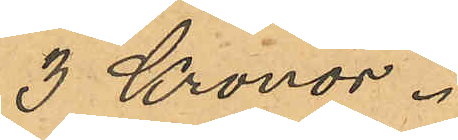3 Kronor.
